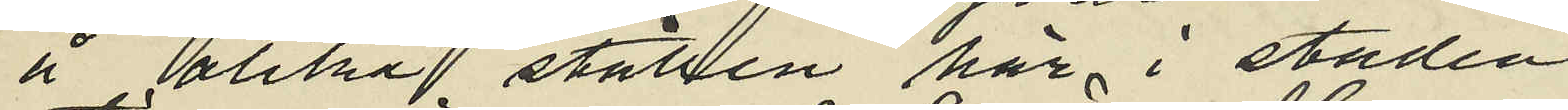å olika ställen här i staden
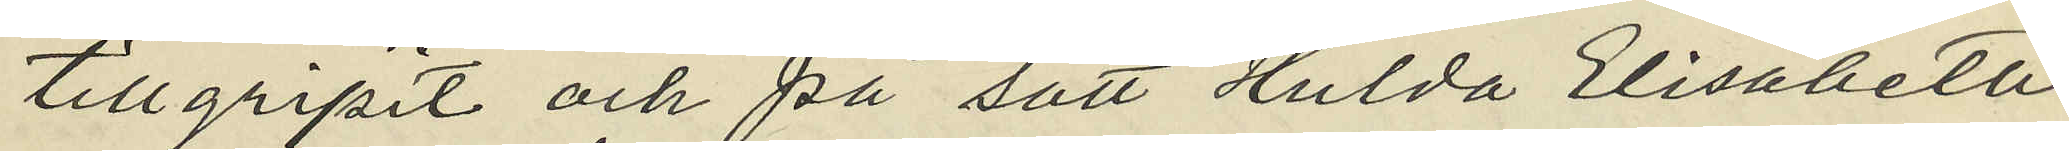tillgripit och på sätt Hulda Elisabeth
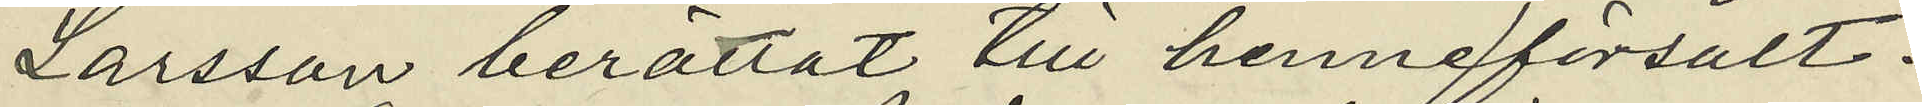Larsson berättat till henne försålt:
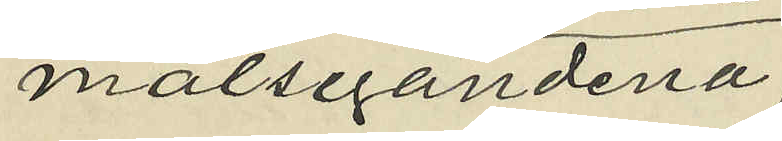målsegandena.
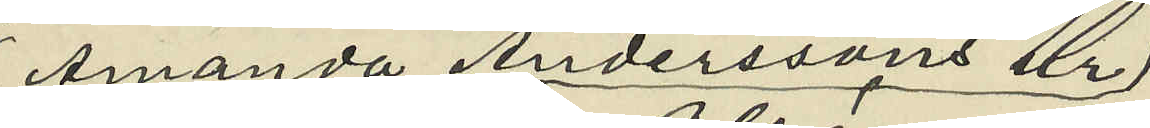Amanda Anderssons ur,
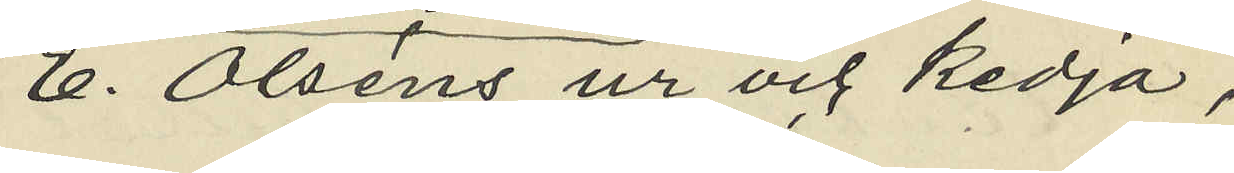E. Olsens ur och kedja,
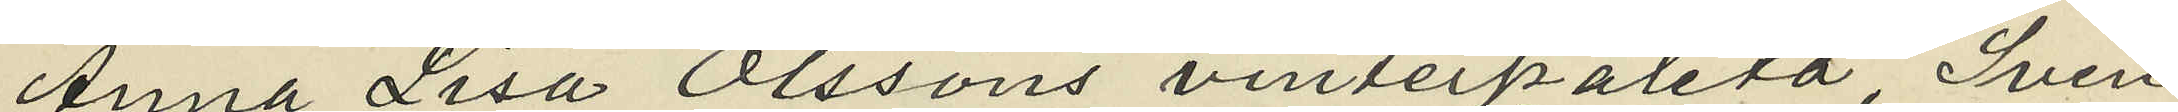Anna Lisa Olssons vintepaletå, Sven
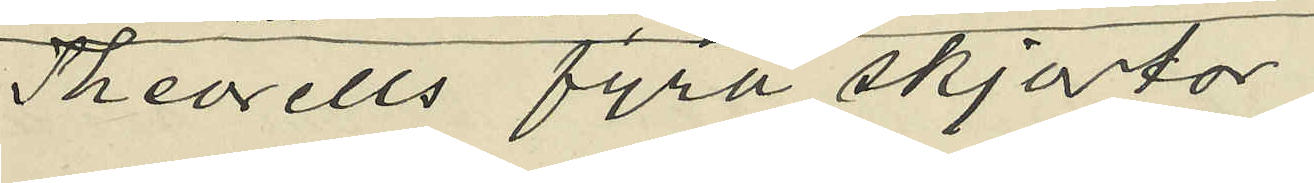Theorells fyra skjortor,
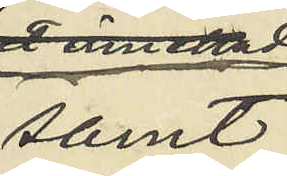samt
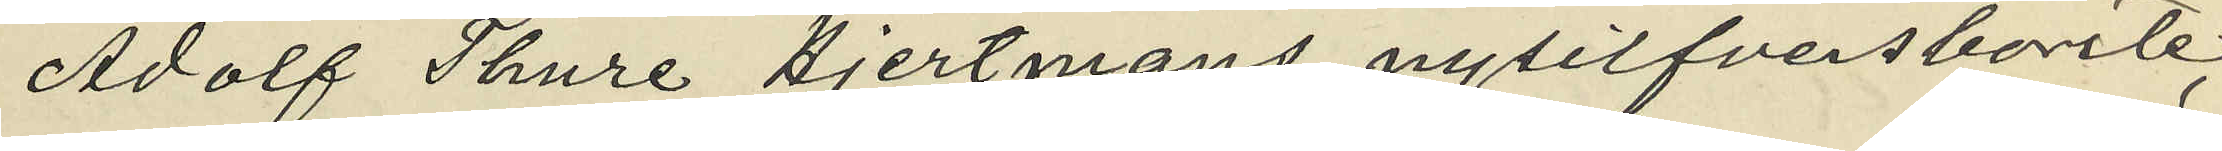Adolf Thure Hjertmans nysilfversborte;
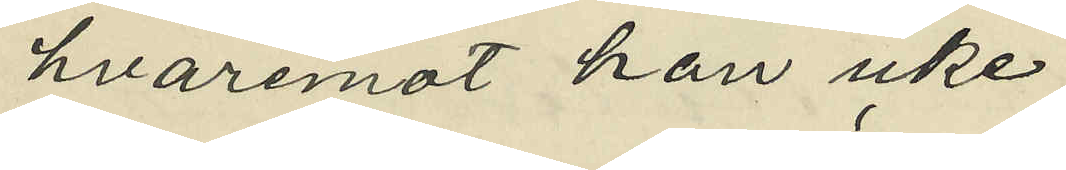hvaremot han icke
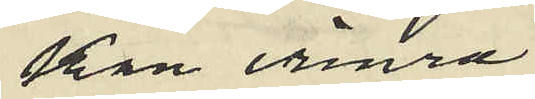kan erinra
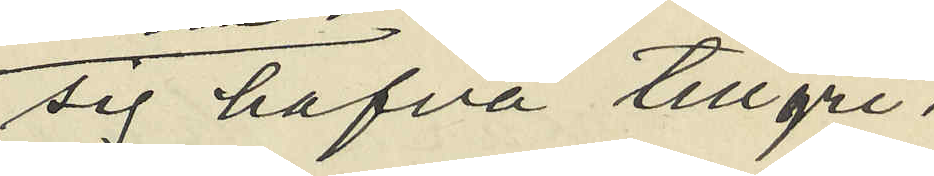sig hafva tillgri¬
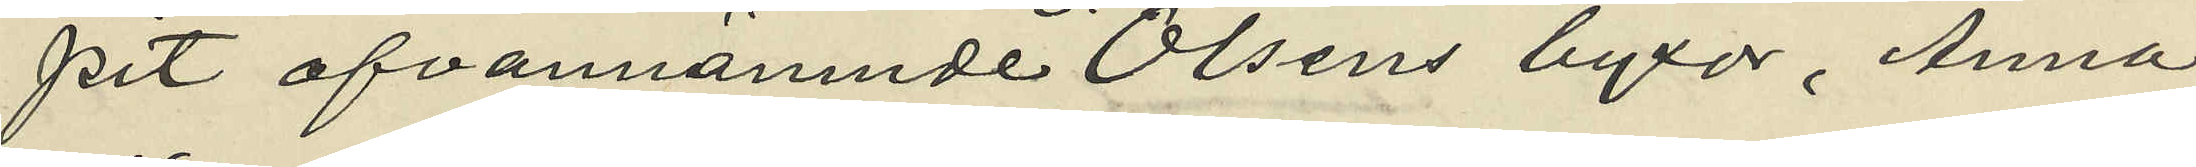pit ofvannämnde Olsens byxor, Anna
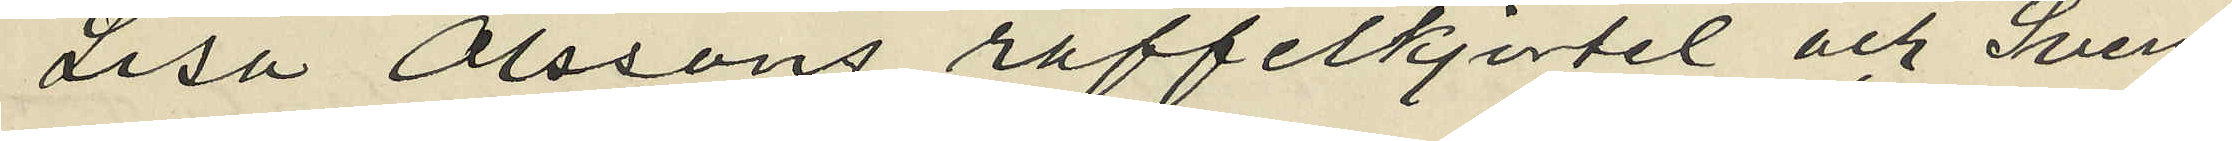Lisa Olssons raffelkjortel och Sven¬
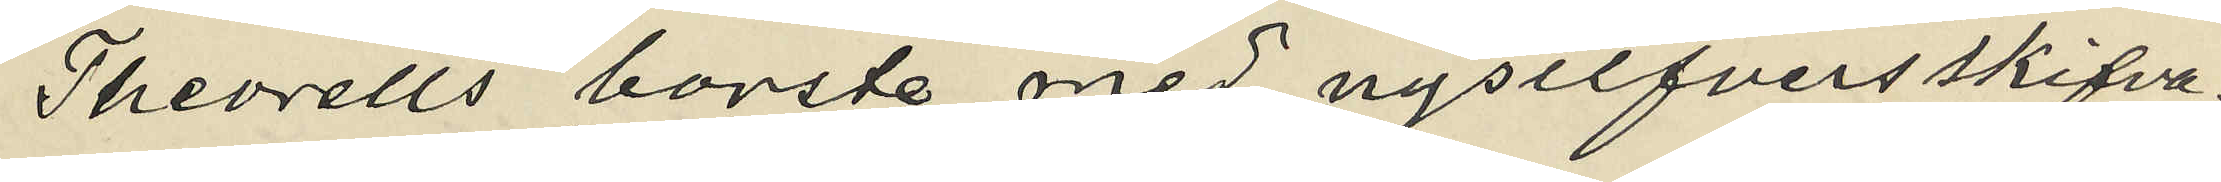Theorells borste med nysilfvers skifva,
